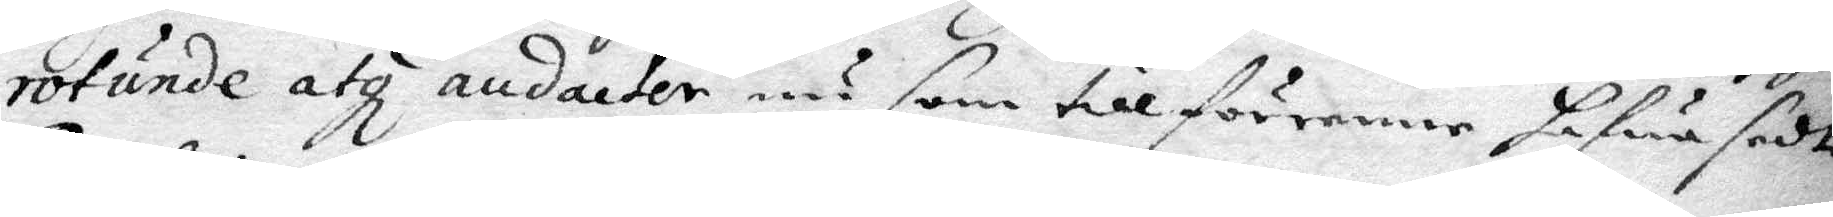rotunde atz andacter nu som tillförenne hafwa sedt
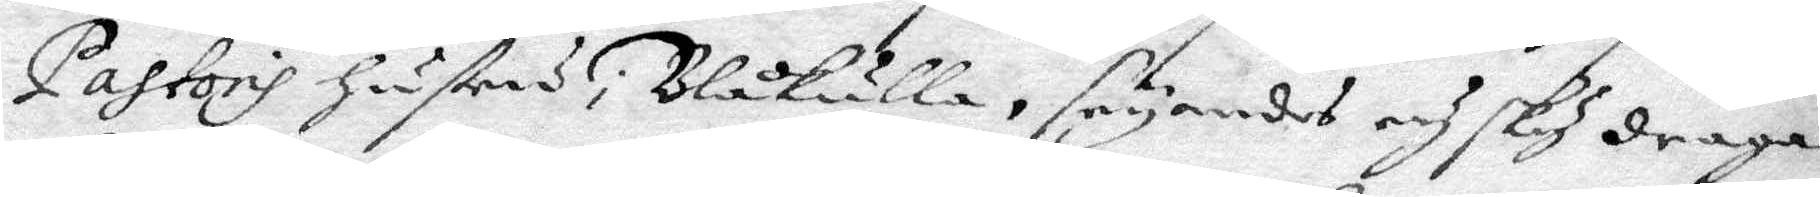pastoris hustru i Blåkulla, seyandes och sky draga
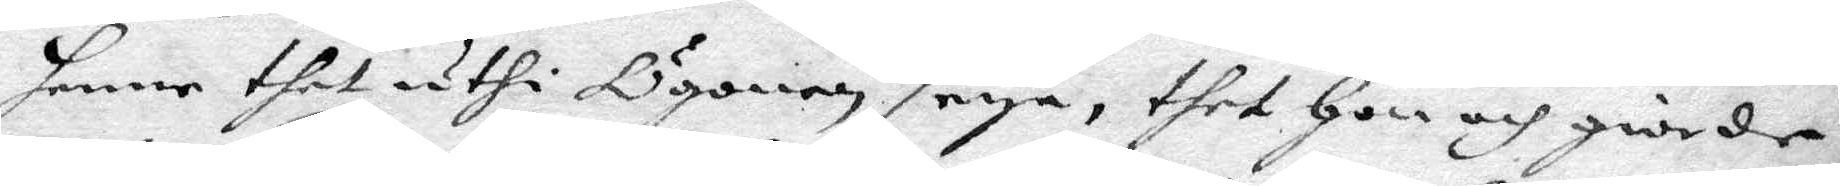henne thet uthi Ögonen seya, thet hon och giorde,
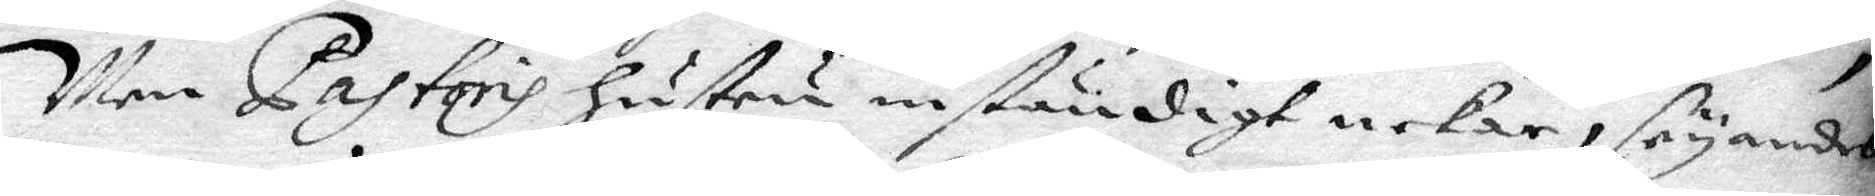Men pastoris hustru inständigt nekar, säyandes
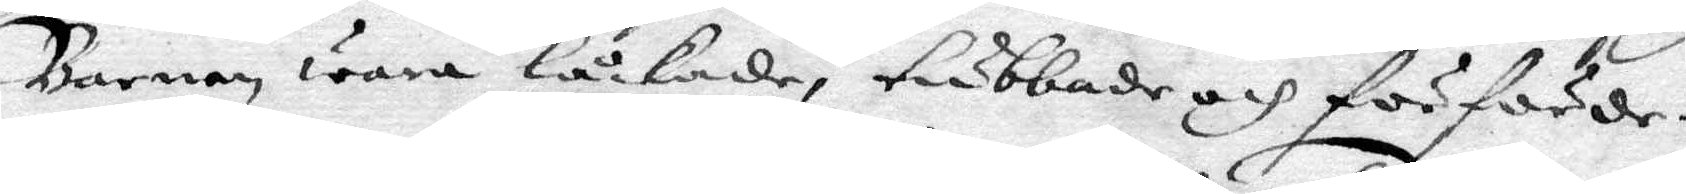Barnen wara låckade, tubbade och förförder.
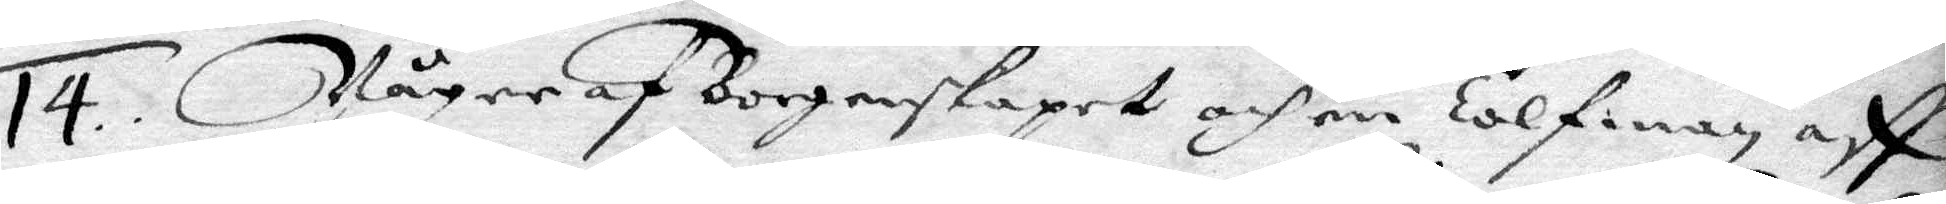14. Någre af Borgerskapet och en Tolfman aff
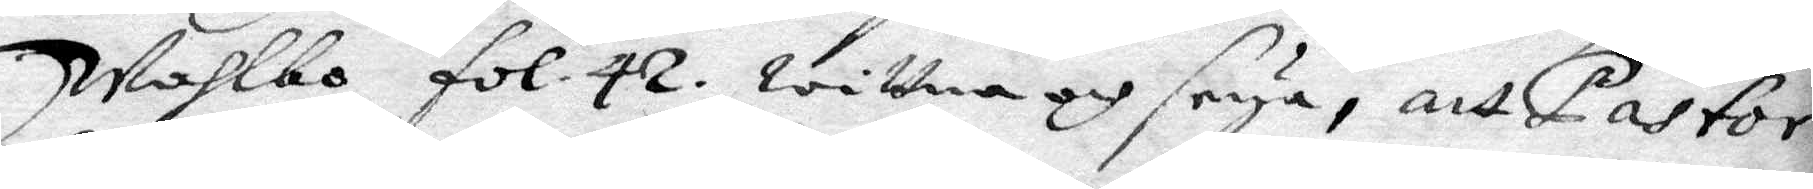Wahlbo fol. 42. witttna och seya, att Pastor
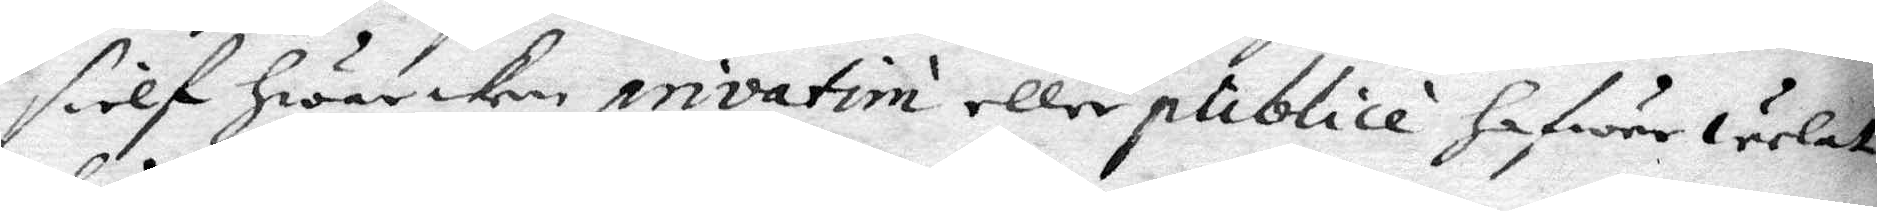sielf hwarken privatim eller publice hafwer welat
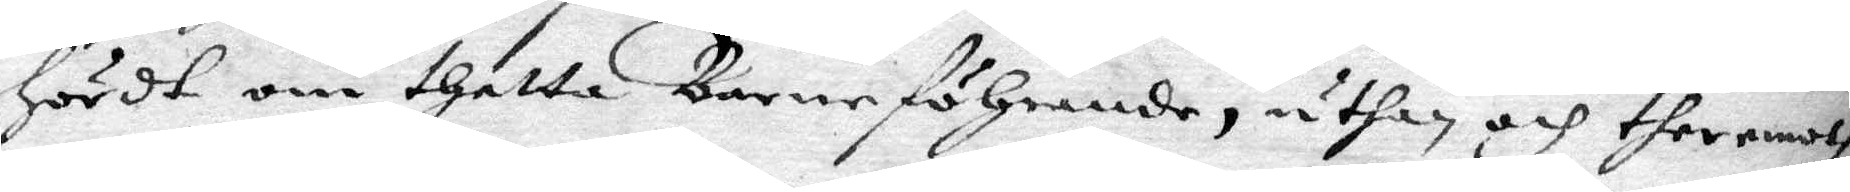hördt om thetta barneföhrande, uthan och ther emoth
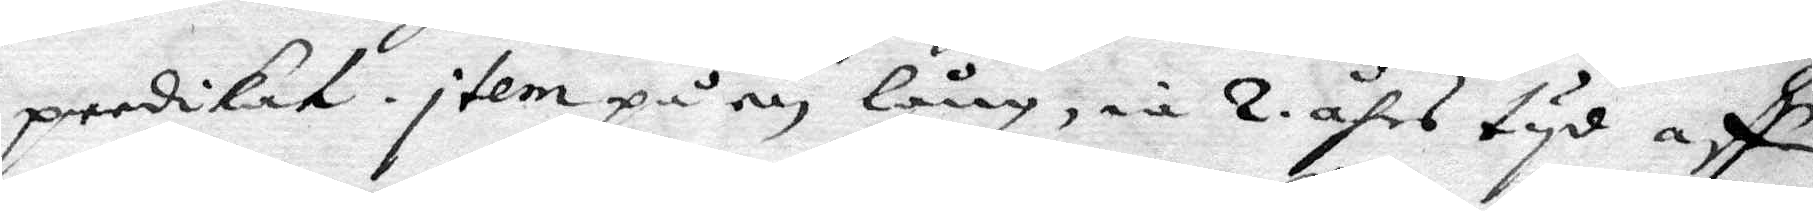predikat. item på en lång, m 2. åhrs tyd aff¬
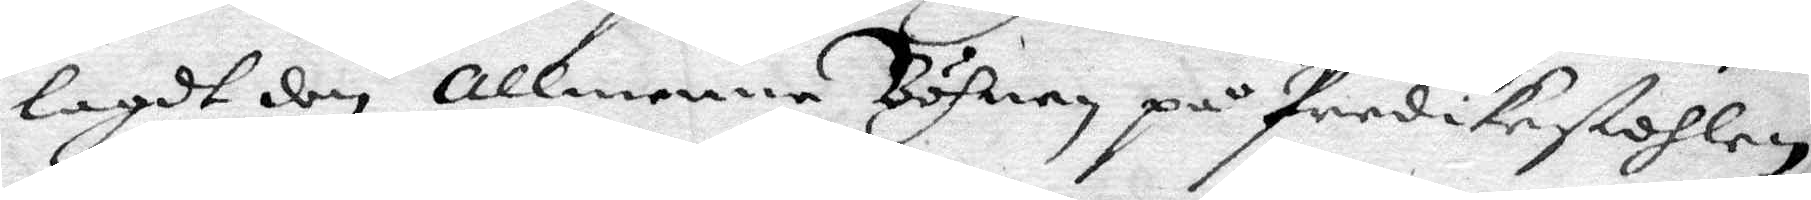lagdt den allmenna Böhnen på Predikestolen
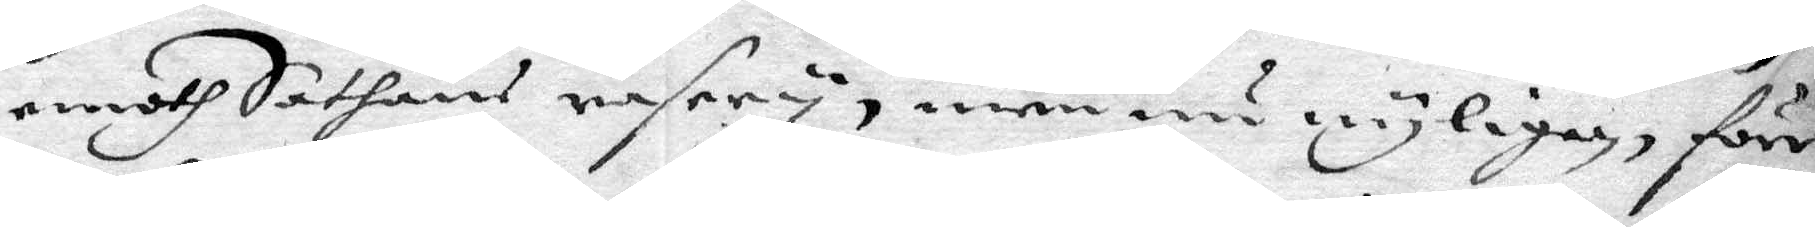emoth Sathans rasery, men nu nyligen förr¬
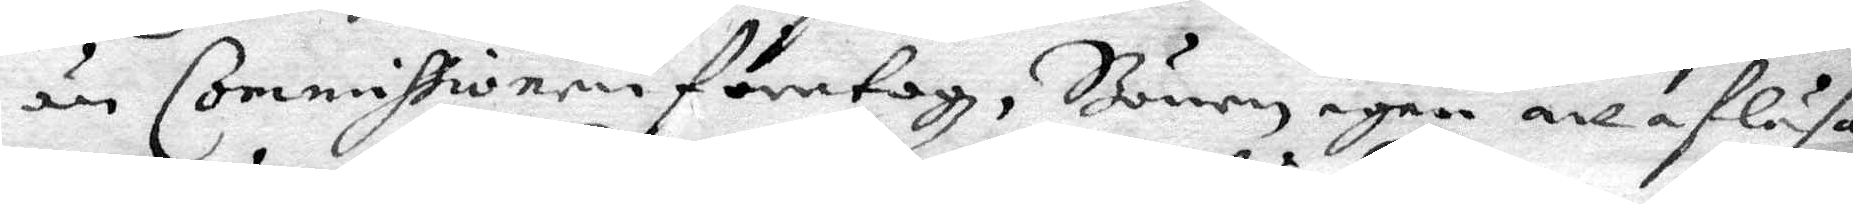än Commissoren företogz, Bönen igen att afläsa
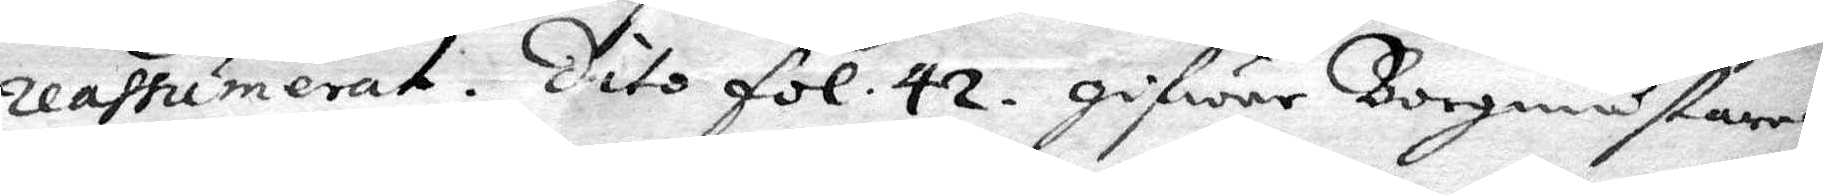reaffumerat. Dito fol. 42. gifwer Borgmästaren
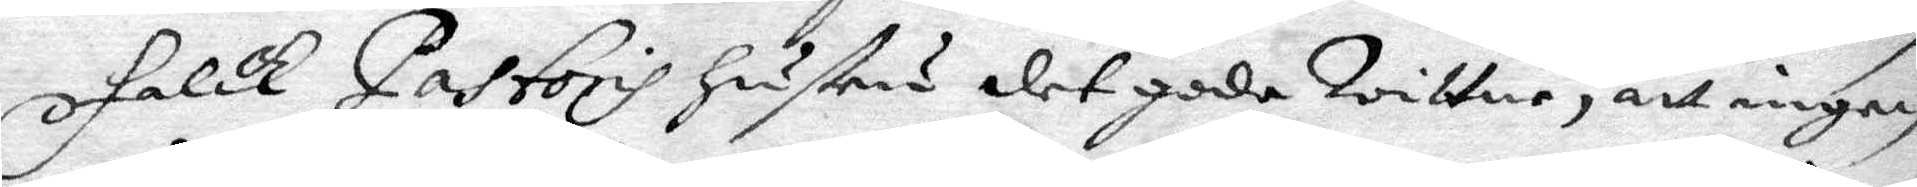Falck Pastoris hustru det gode wittne, att ingen
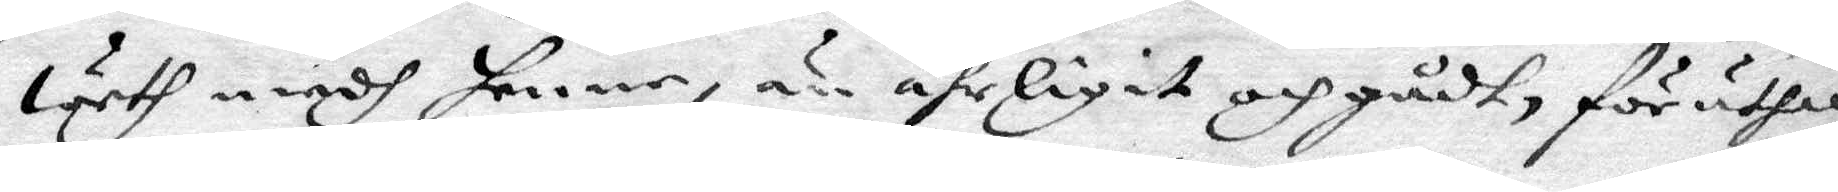weth medh henne. än ährligit och gådt, för uthen
